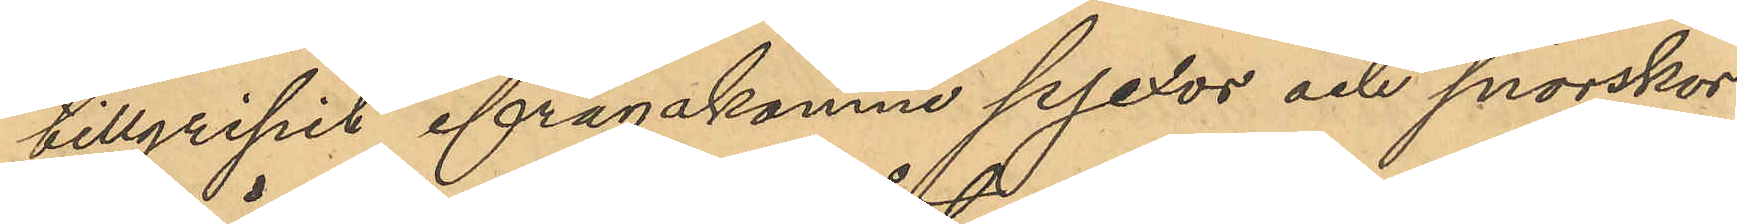tillgripit ifrågakomne pjexor och snörskor.
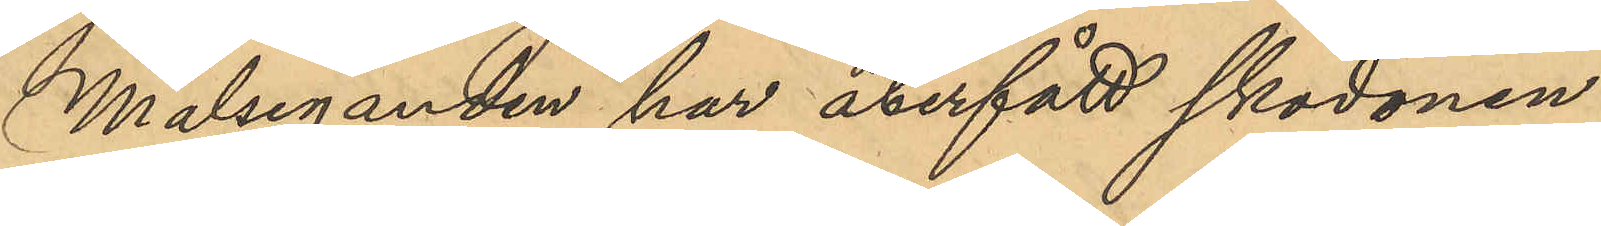Målseganden har återfått skodonen.
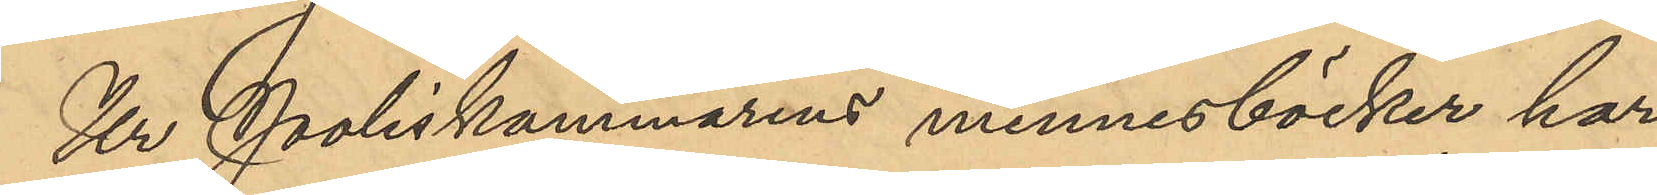Ur Poliskammarens minnesböcker har
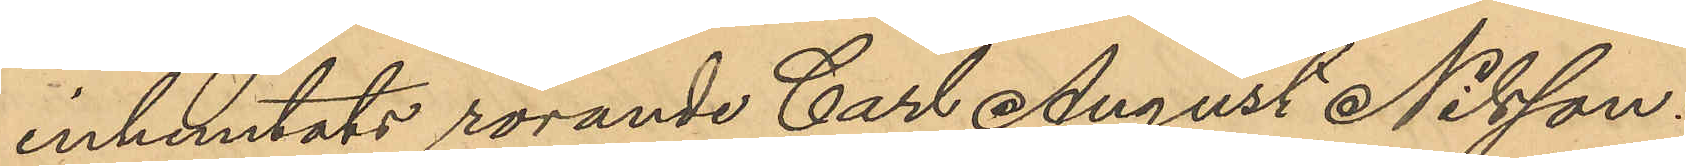inhemtats rörande Carl August Nilsson
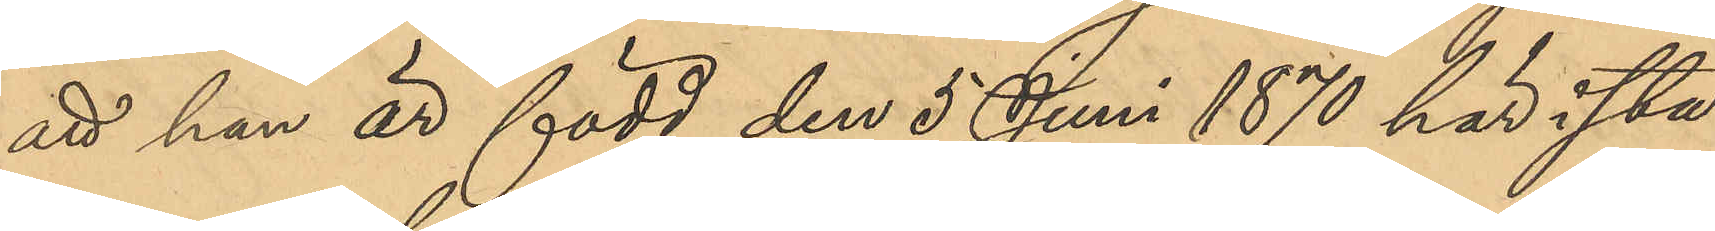att han är född den 5 Juni 1870 har i sta¬
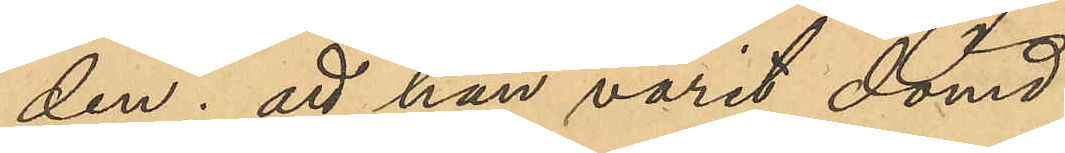den; att han varit dömd:
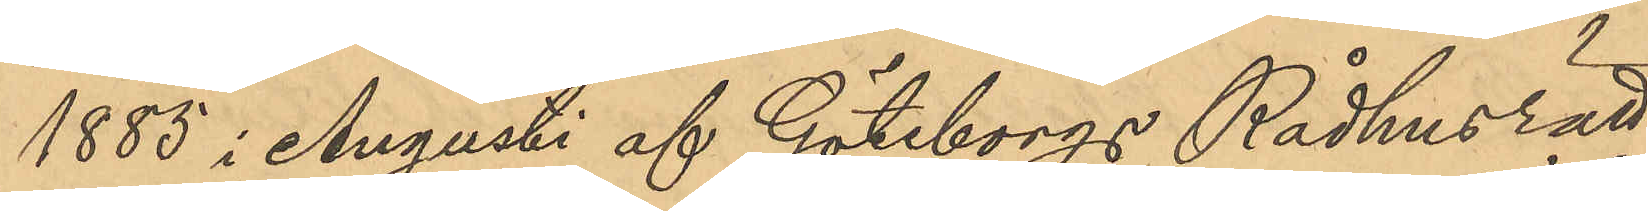1885 i Augusti af Göteborgs Rådhusrätt      
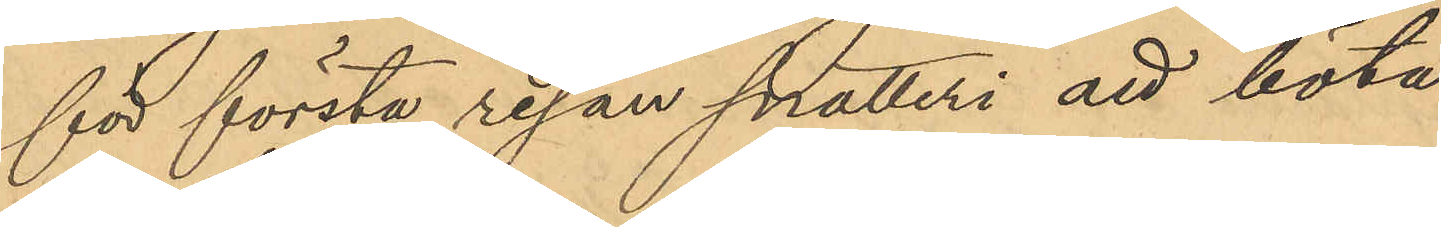 för första resan snatteri att böta
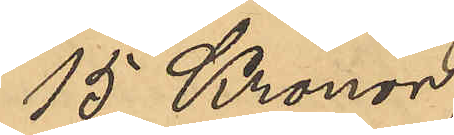15 Kronor;
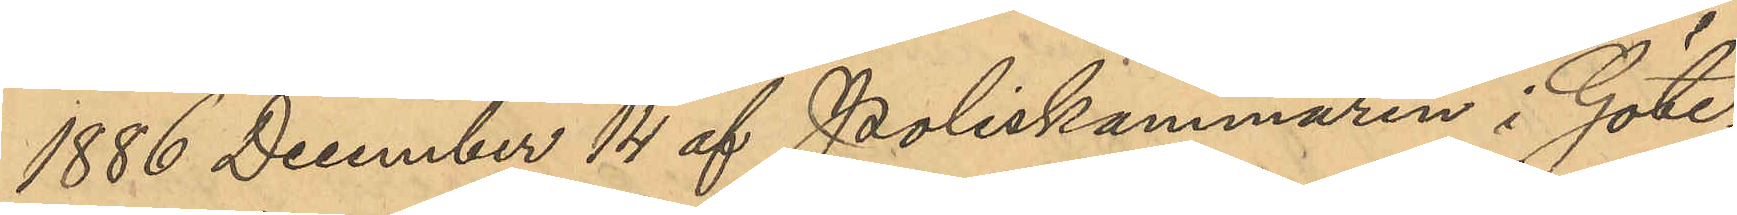1886 December 14 af Poliskammaren i Göte¬
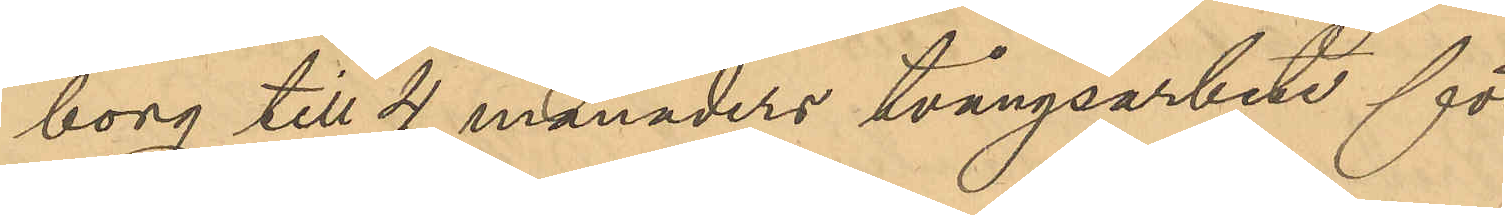         borg till 4 månaders tvångsarbete för
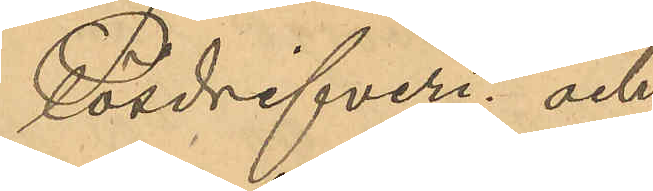Lösdrifveri; och
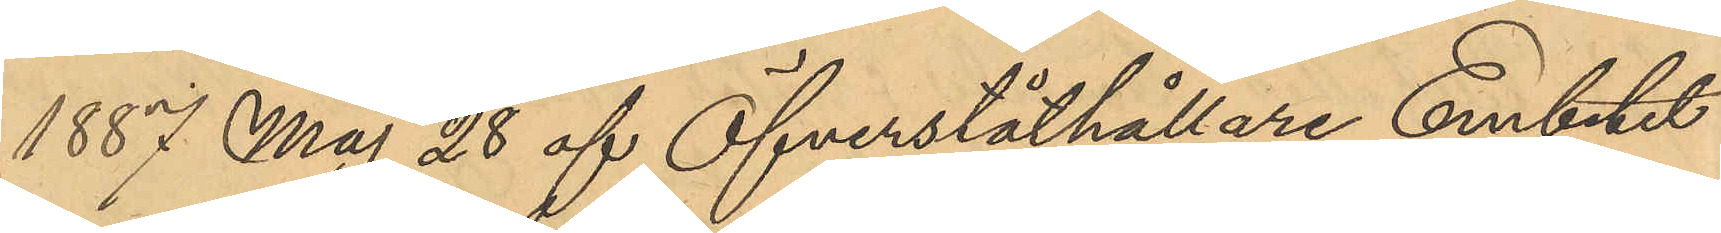1887 Maj 28 af Öfverståthållare Embetet       
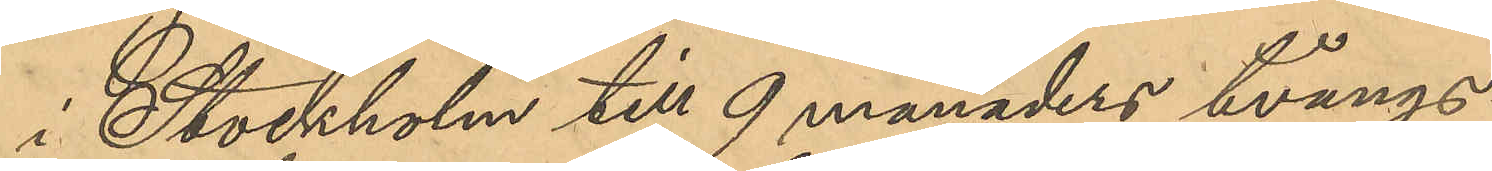          i Stockholm till 9 månaders tvångs¬
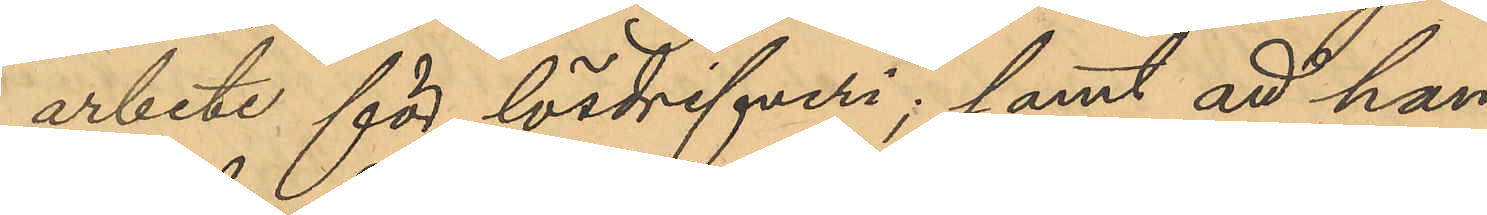      arbete för lösdrifveri; samt att han
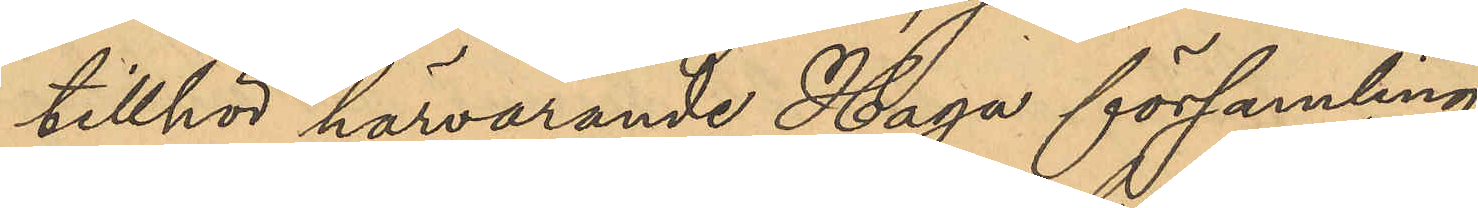     tillhör härvarande Haga församling.
